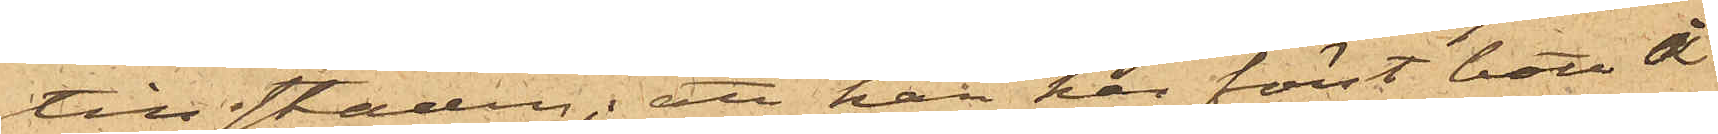till staden; att han här först bott å
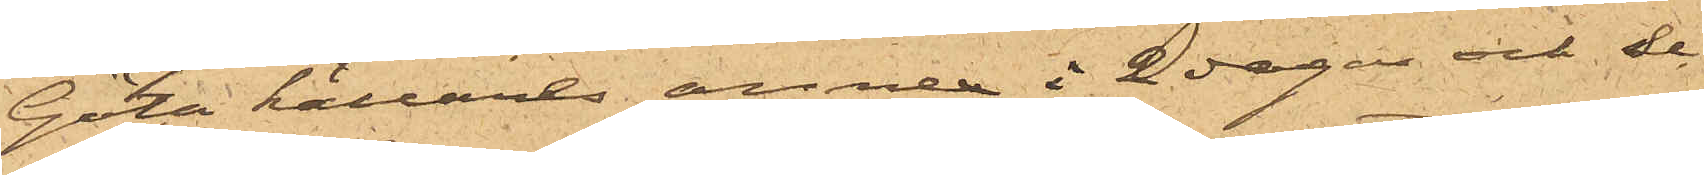Göta källares annex i 2 dagar och se-
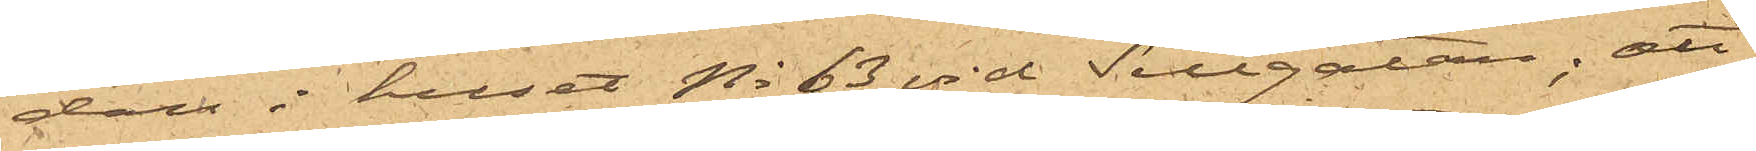dan i huset No 63 vid Sillgatan; att
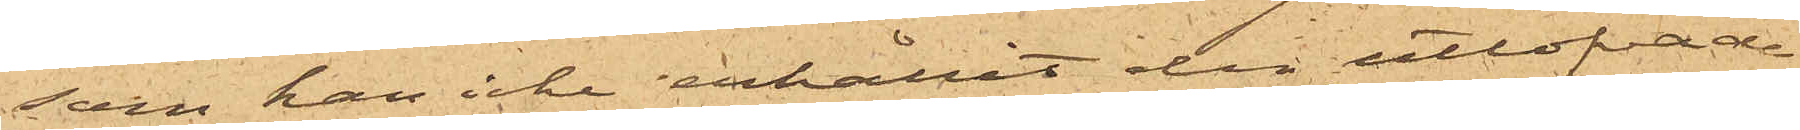som han icke erhållit den utlofvade
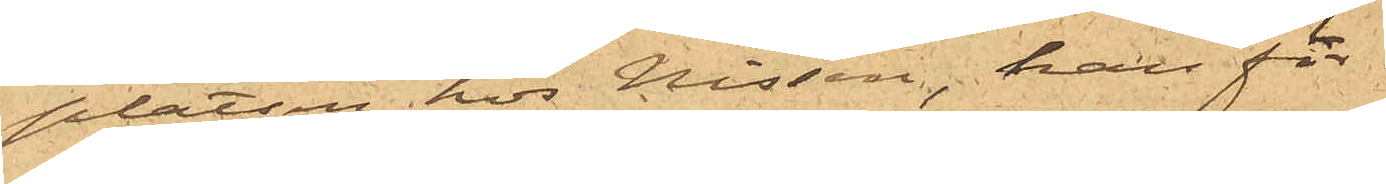platsen hos Nissen, han för
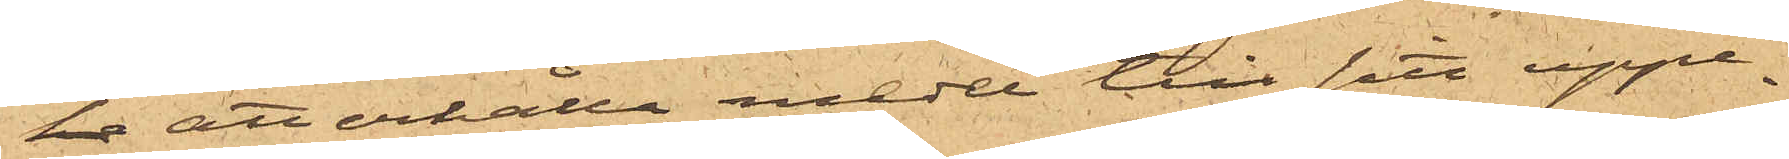 att erhålla medel till sitt uppe¬
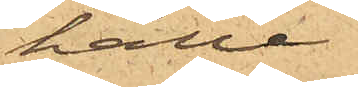hälle
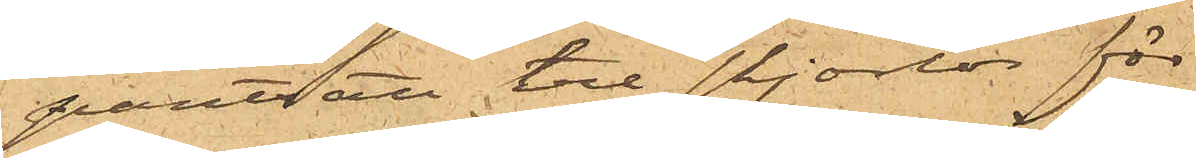pantsatt tre skjortor för
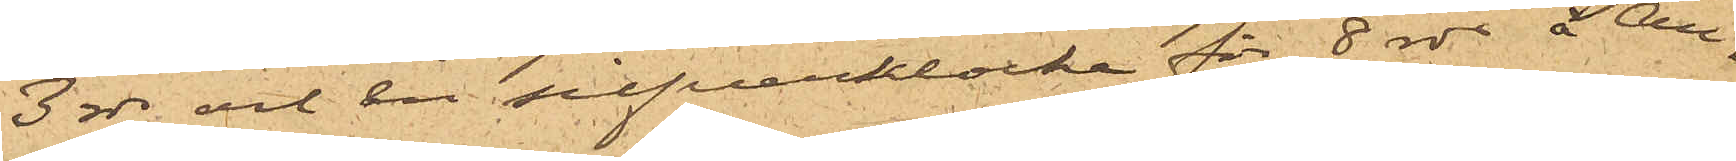3 rdr och en silfverklocka för 8 rdr å An¬
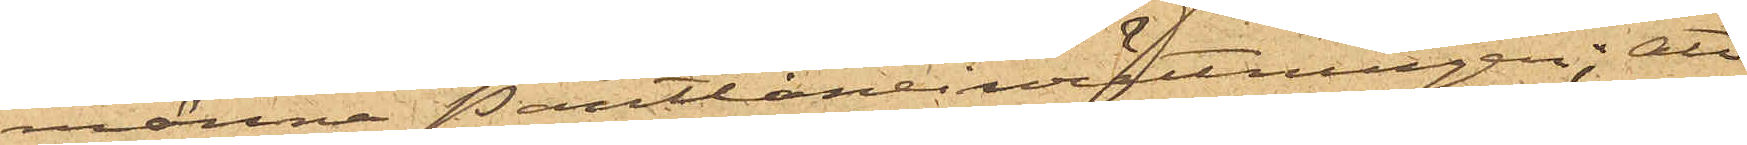männa Pantlåneinrättningen; att
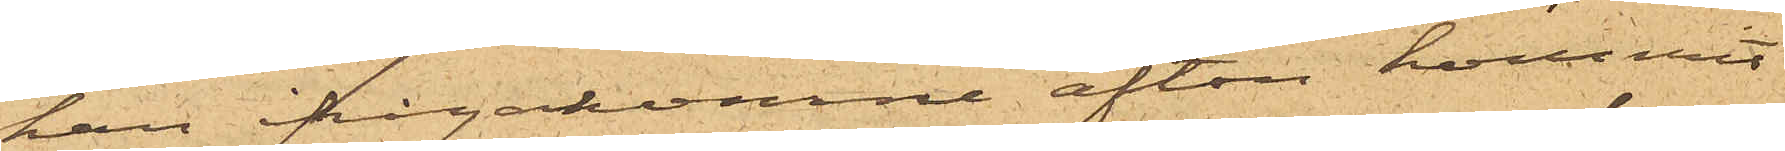han ifrågakomne afton kommit
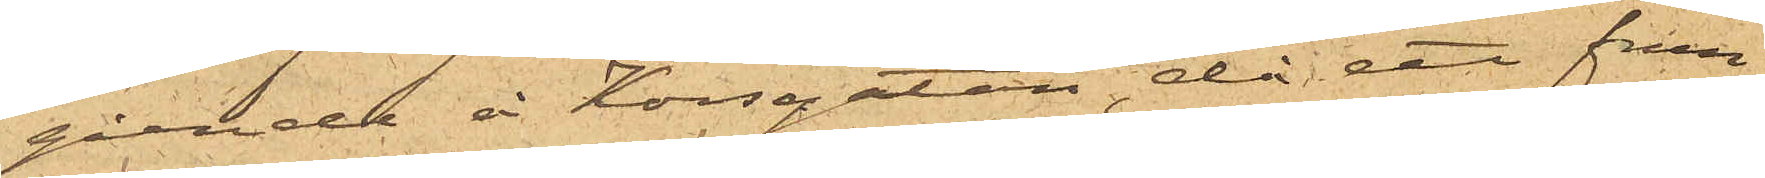gående å Korsgatan, då ett frun¬
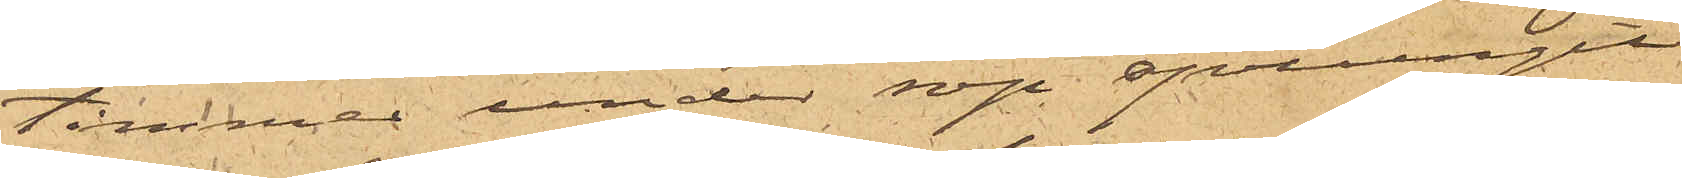timmer under rop sprungit
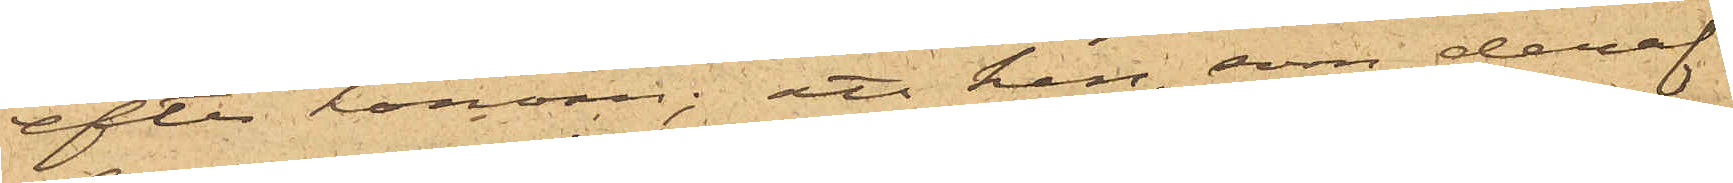efter honom; att han, som deraf
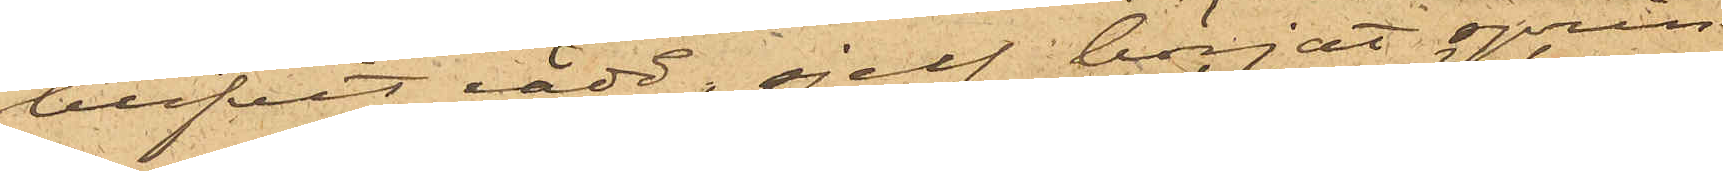blifvit rädd, sjelf böriat sprin¬
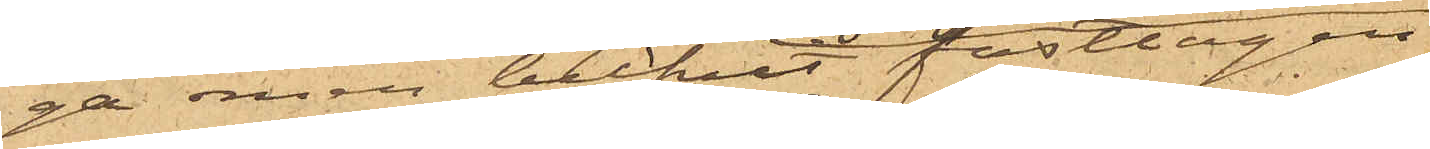ga men blifvit fasttagen
